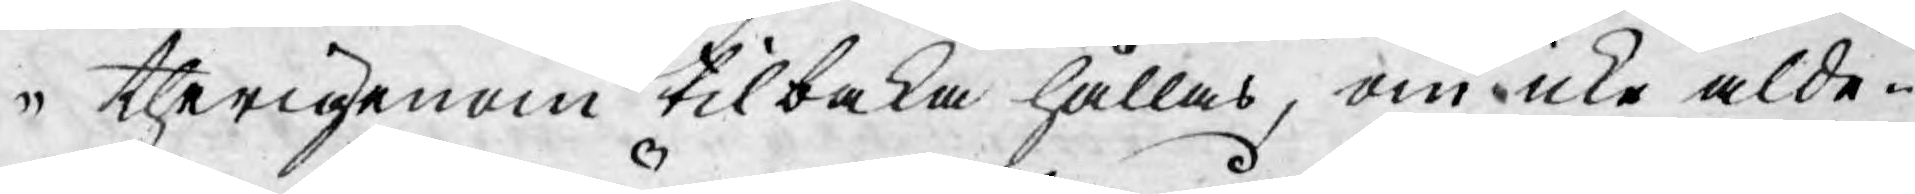therigenom tilbaka hållas, om icke alde¬
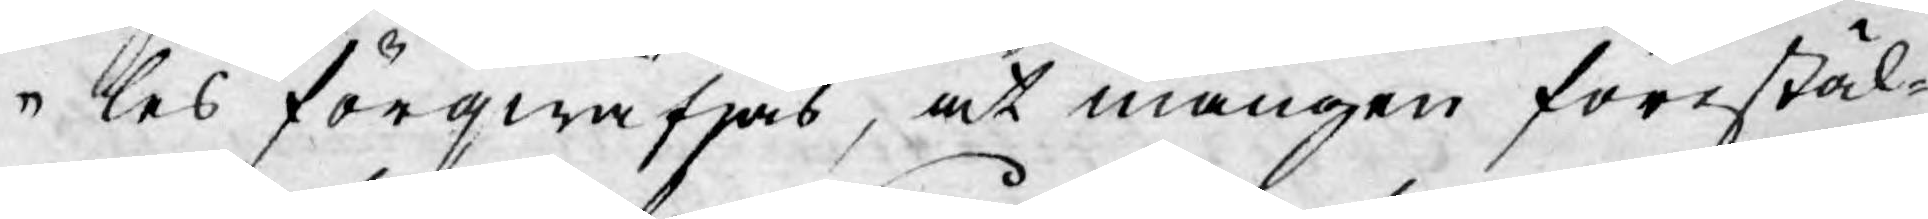les förqwäfjas, at mången förestäl-
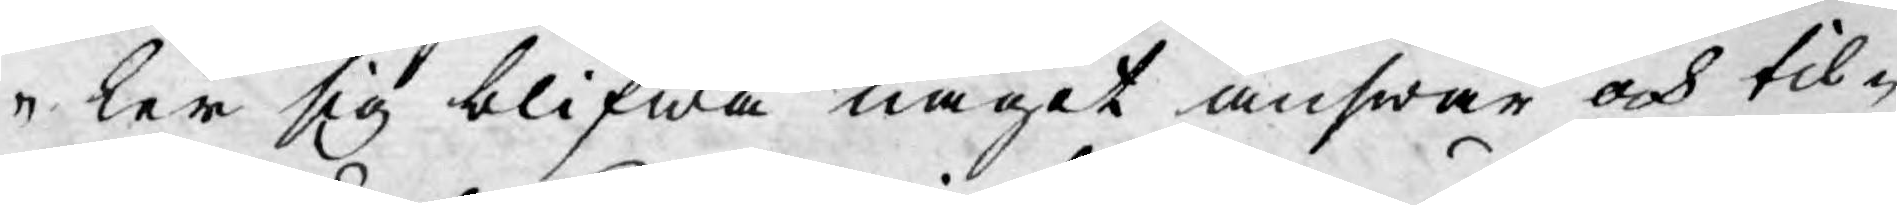ler sig blifwa något answar och til¬
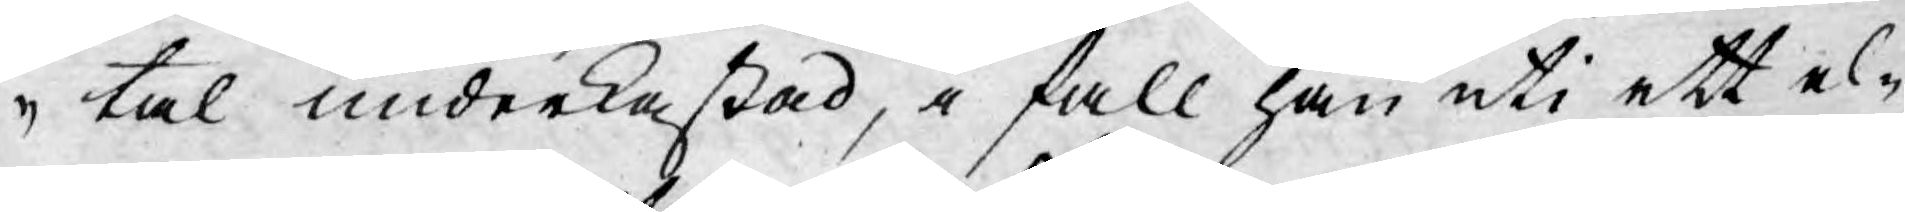tal underkastad, i fall han uti ett el¬
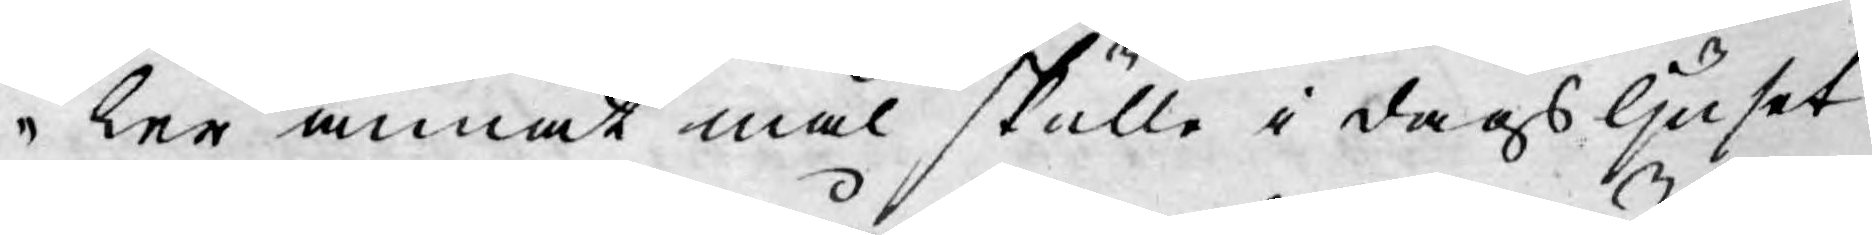ler annat mål skulle i dagsljuset
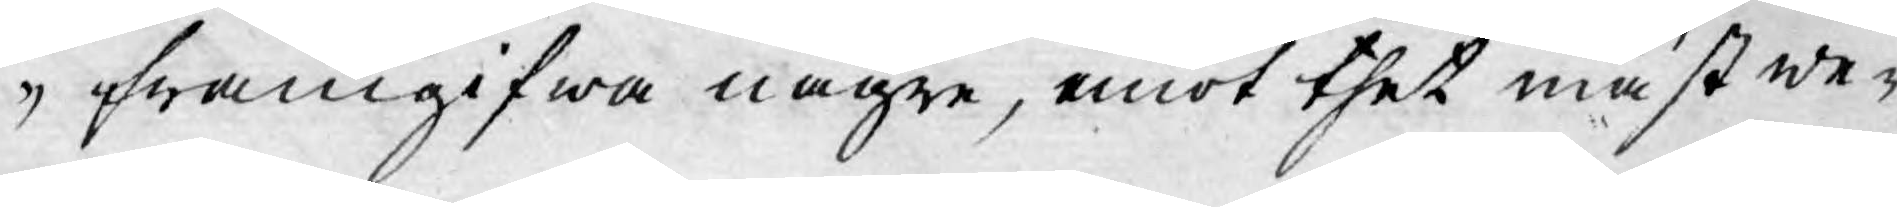framgifwa någre, emot thet mäst we¬
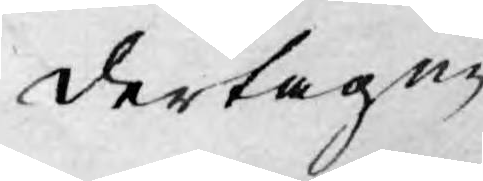dertagne
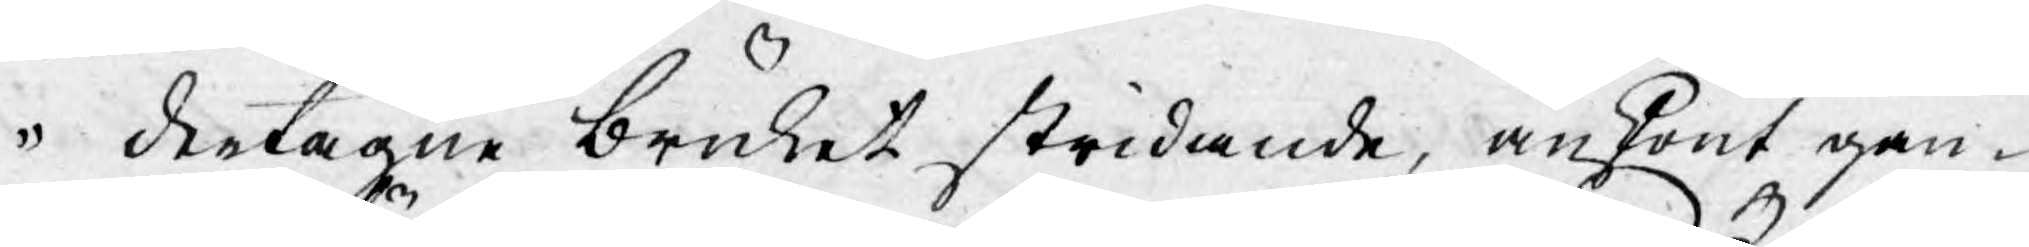dertagne bruket stridande, änskönt gan-
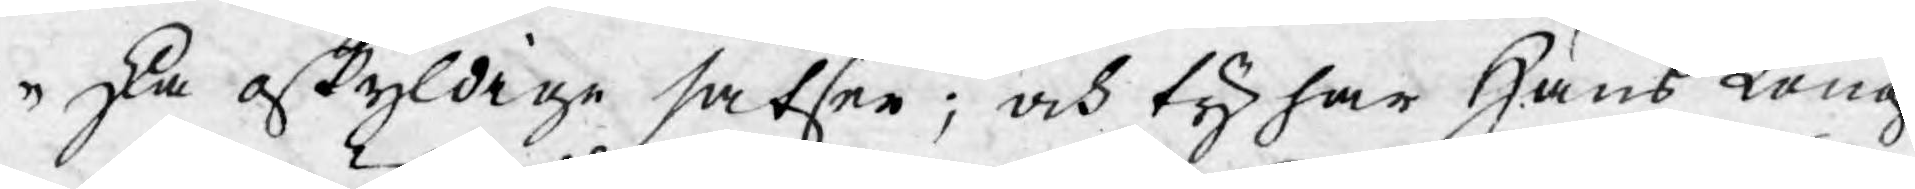ska oskyldige satser; och ty har Hans Kongl.
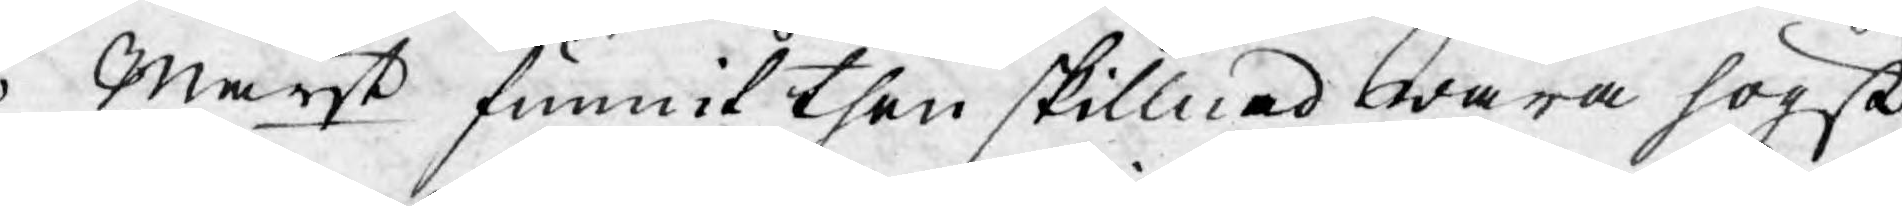Mayt funnit then skillnad wara högst
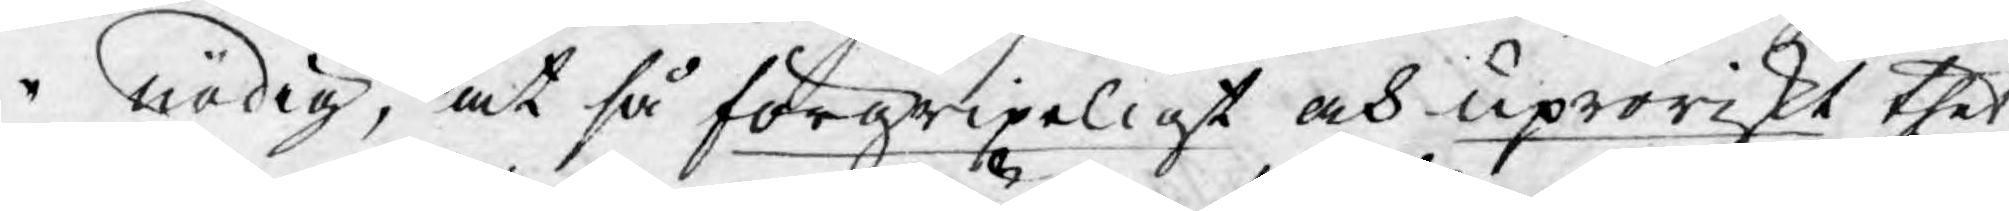nödig, at så förgripeligt och uproriskt thet
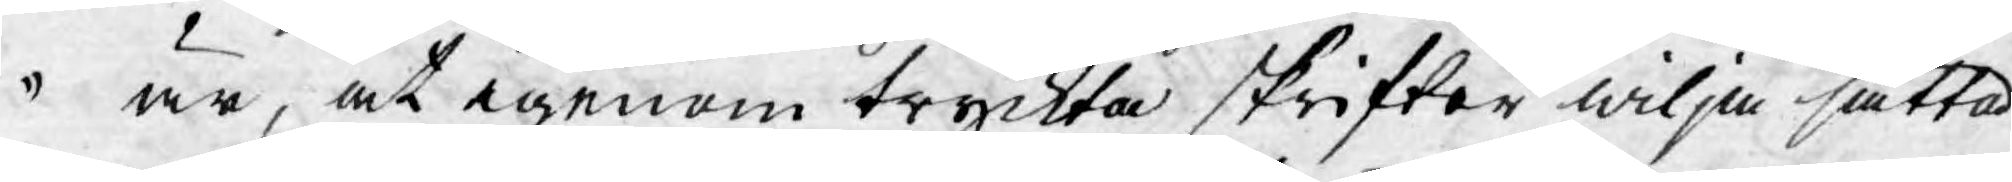är, at igenom tryckta skrifter wilja sätta
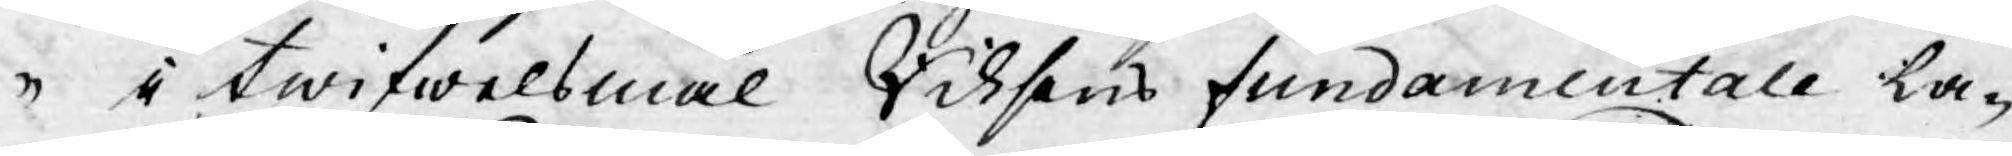i twifwelsmål Riksens fundamentale La¬
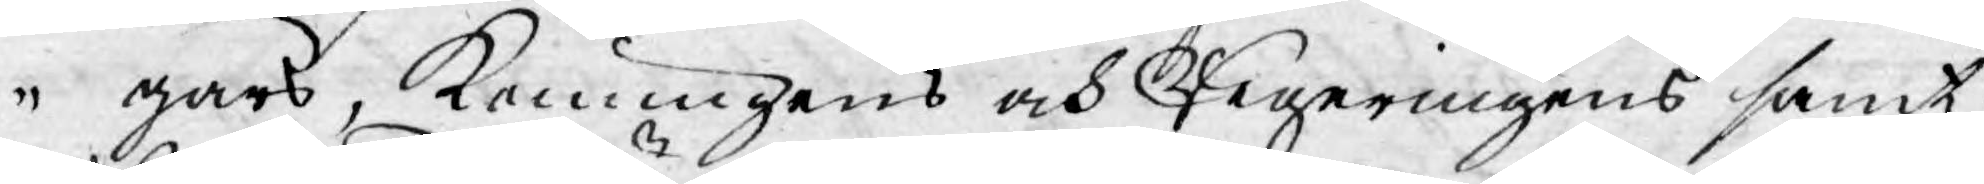gars, Konungens och Regeringens samt
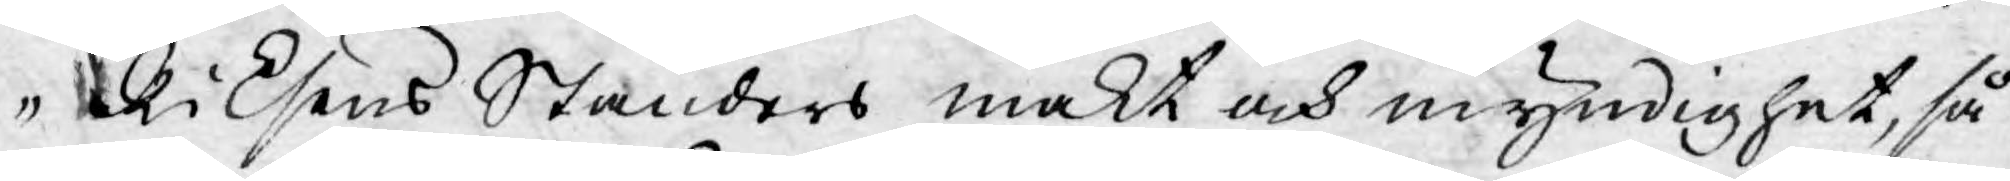Riksens Ständers makt och myndighet, så
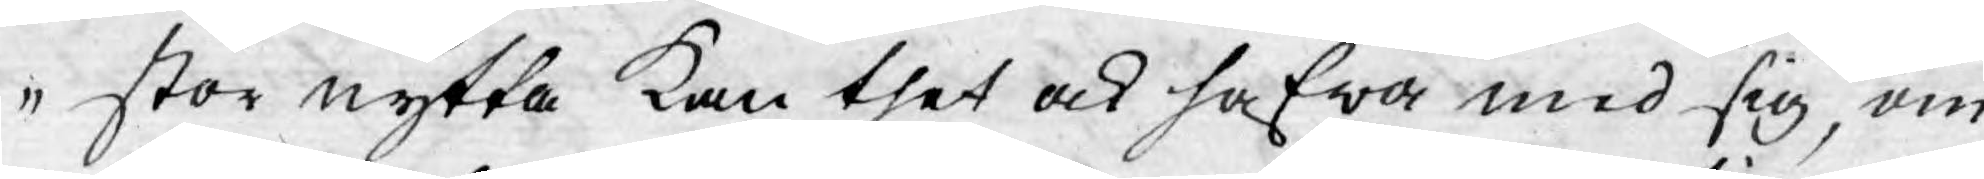stor nytta kan thet ock hafwa med sig, om
